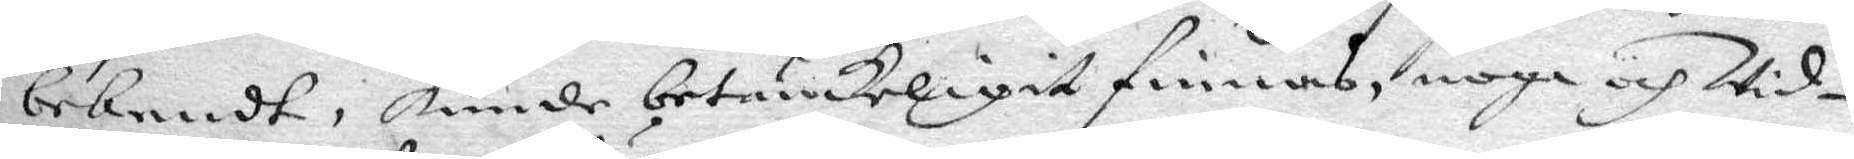bekendt, kunde betänckeligit finnas, noga och Wid¬
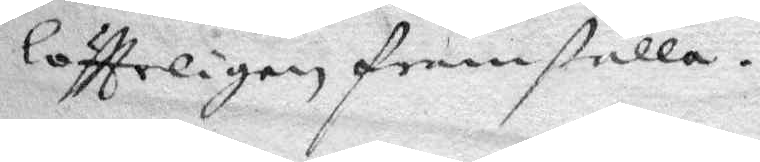löfttelien framställa.
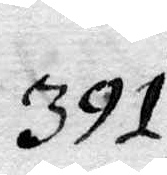391.
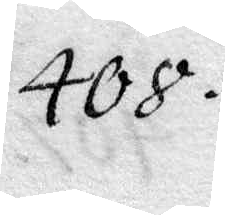408.
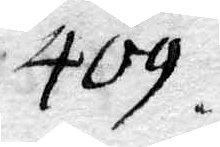409.
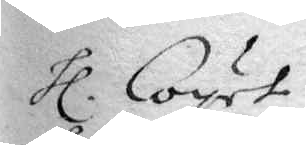hl. Coyet
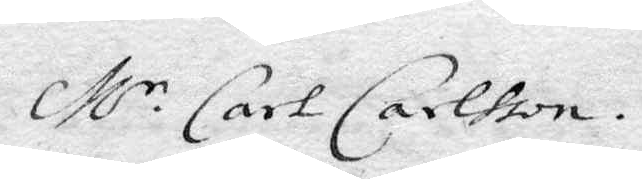M.r Carl Carlsson.
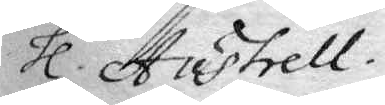hl. Austrell.
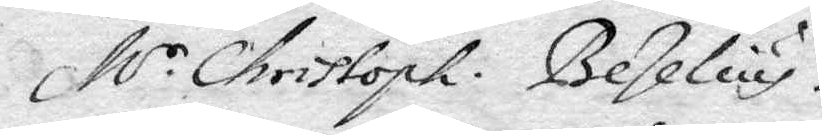M.r Chrisoph. Bezelius.
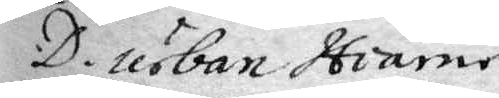D. Urban Hiärne
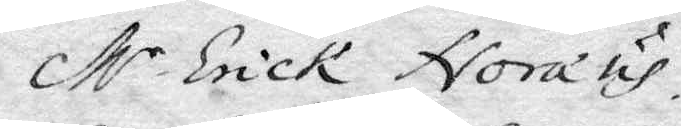M.r Erick Noræus
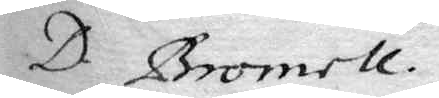D. Bromell.
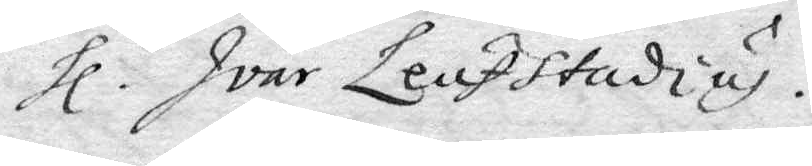hl. Ivar Leufstadius.
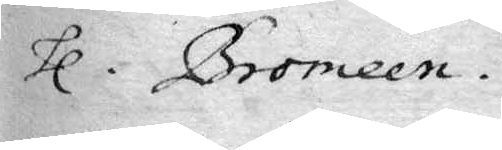hl. Bromeen.
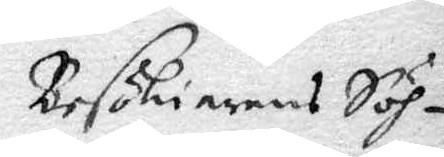Besökiarens Söh¬
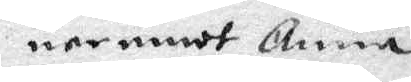ner emot Anna
